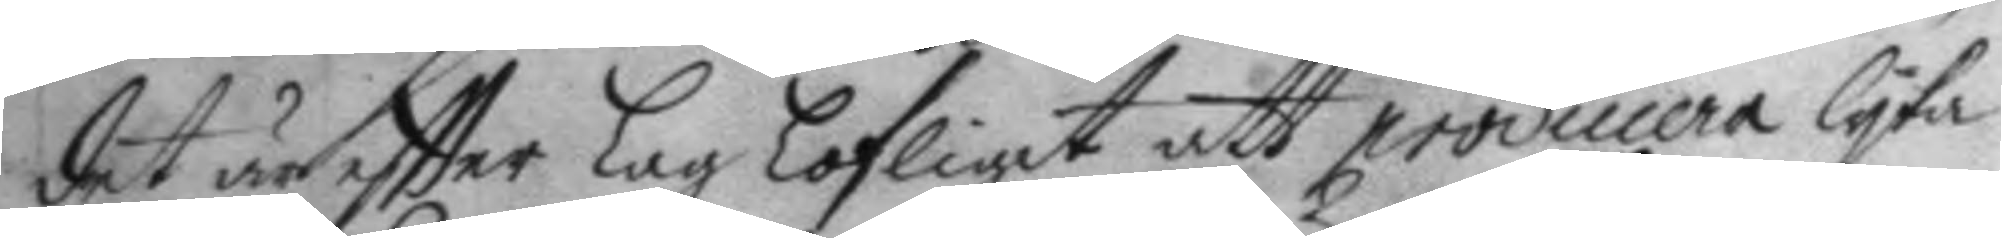det är eftter Lag lofligit att producera lyka
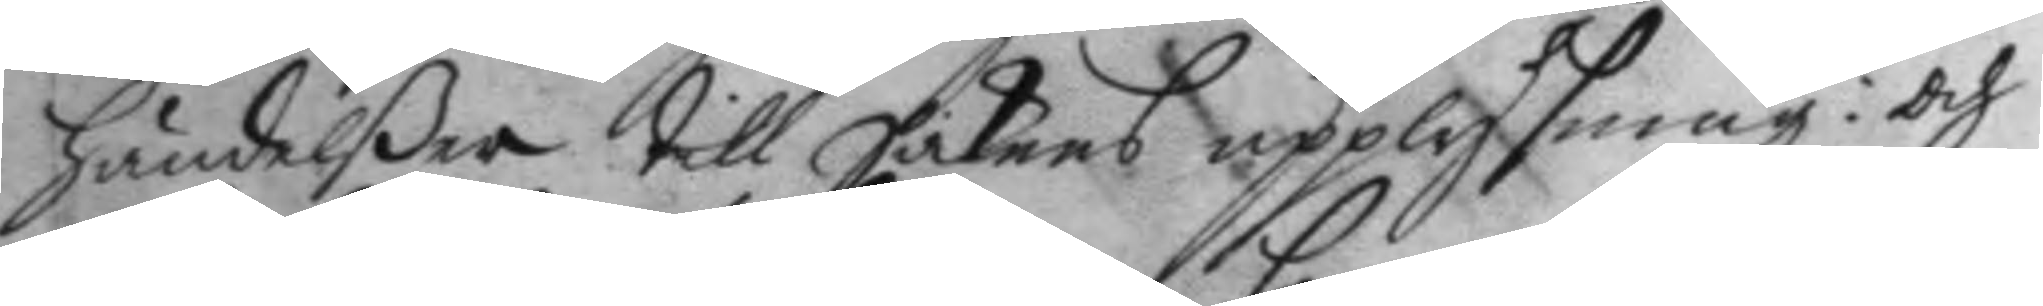händelßer till Sakens upplysning: och
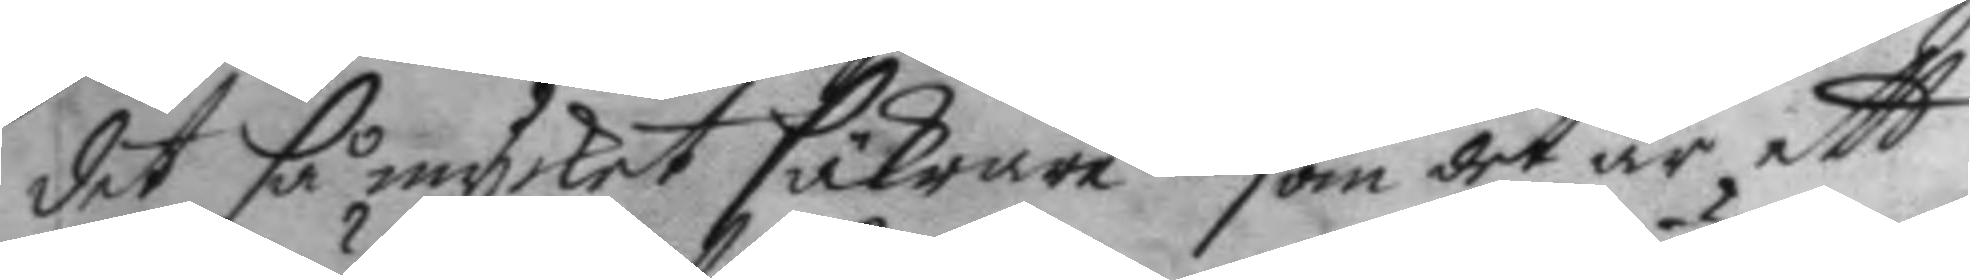det så mycket säkrare som det är ett
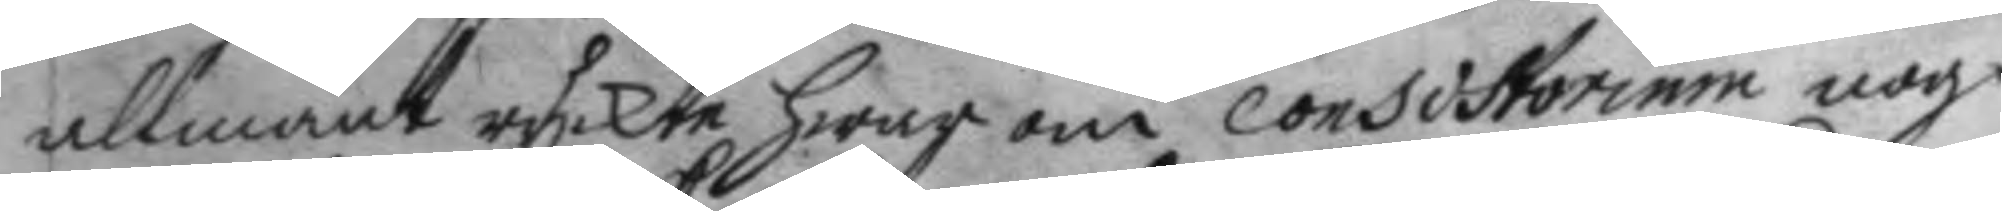ullmänt ryckte hwar om Consistorium nog¬
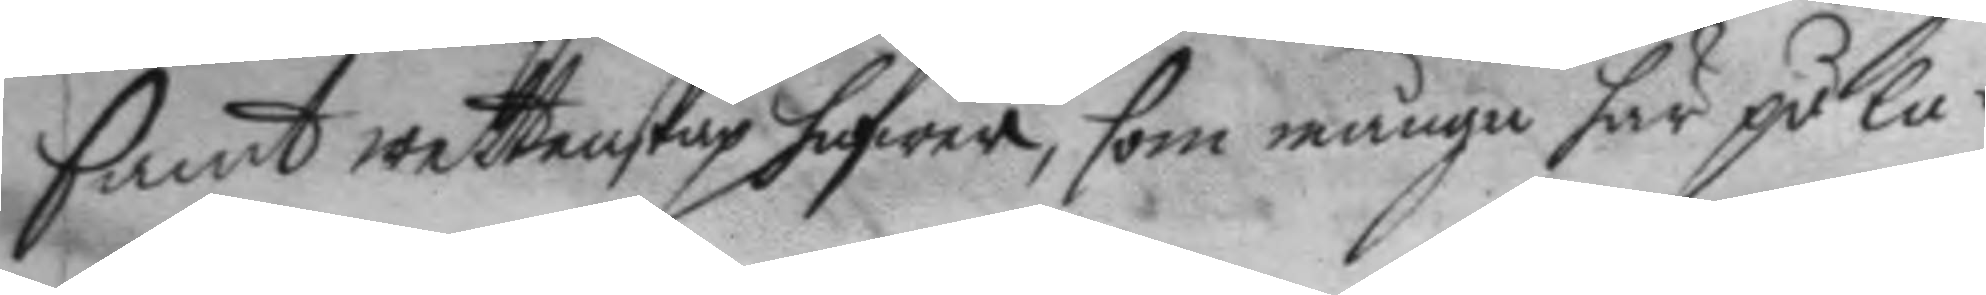samt wettenskap hafwer, som många här på la¬
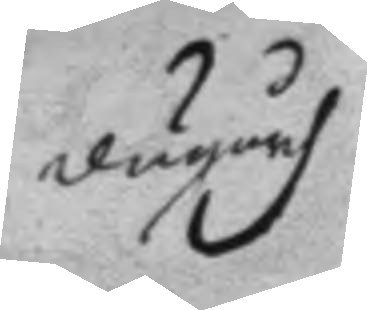dugårdh
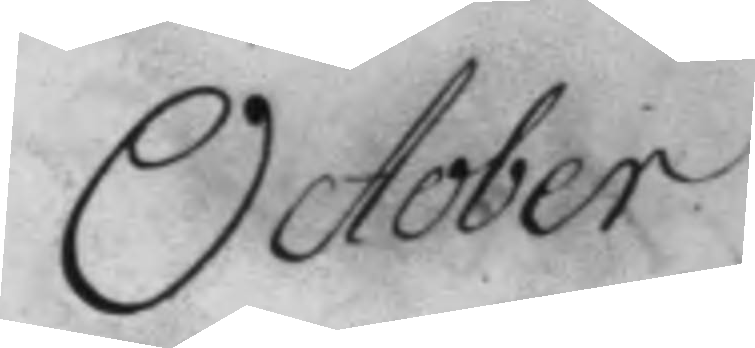October.
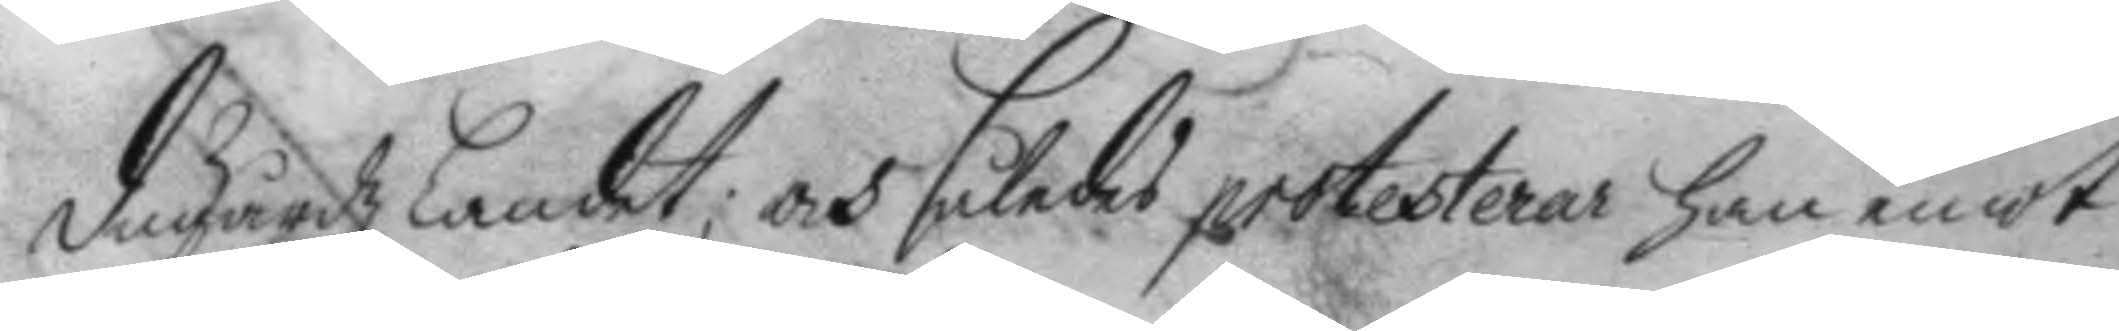dugårdz Landet; och således protesterar han emot
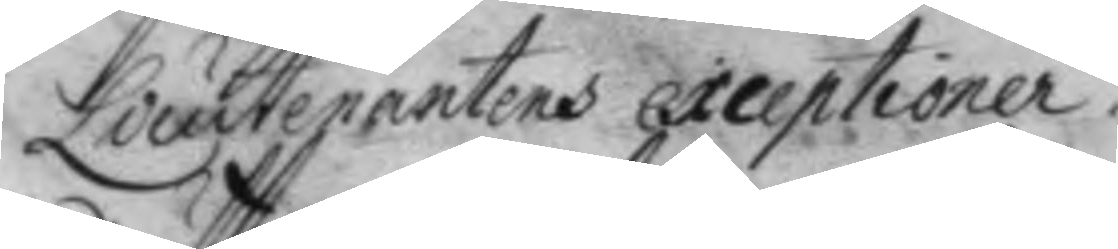Lieutenantens exceptioner.
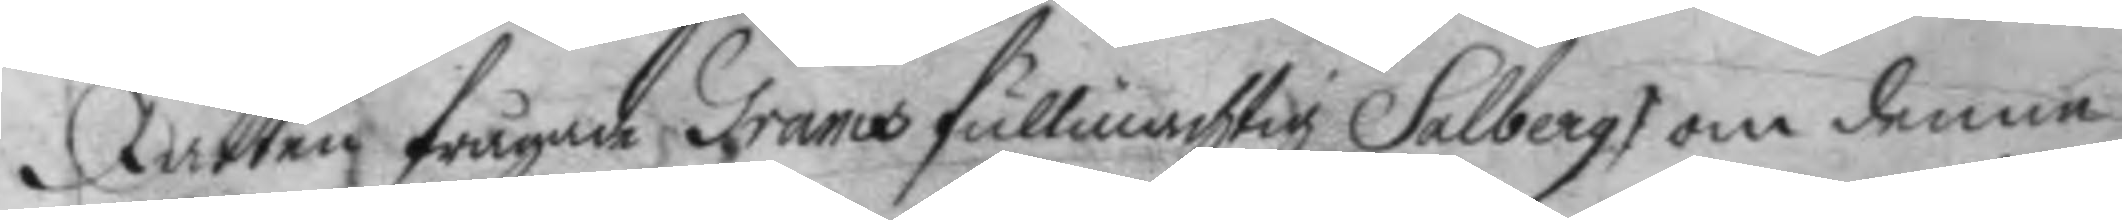Rätten frågade Grams fullmächtig Salberg om denne
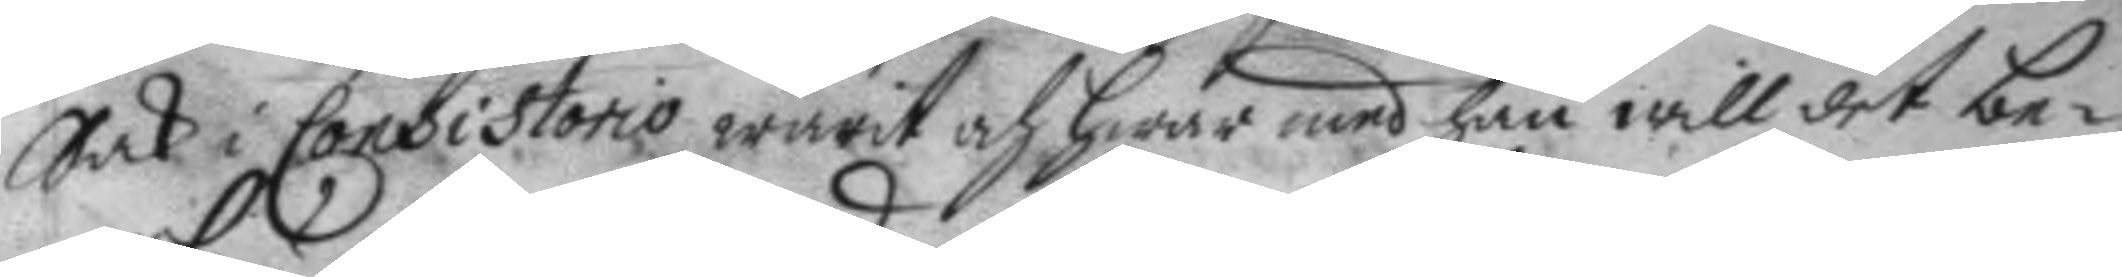Sak i Consistorio warit och hwar med han will det be¬
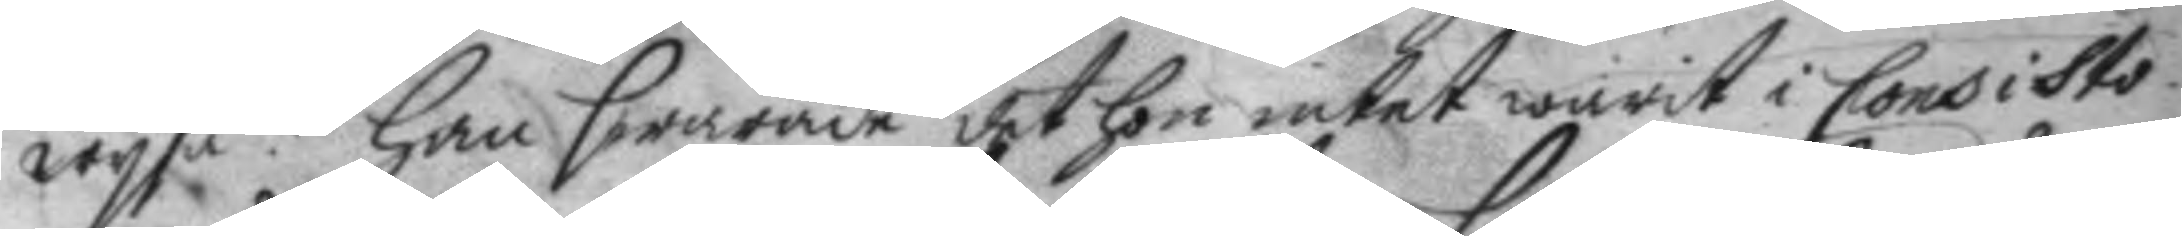wysa? Han swarade det hon intet warit i Consisto¬
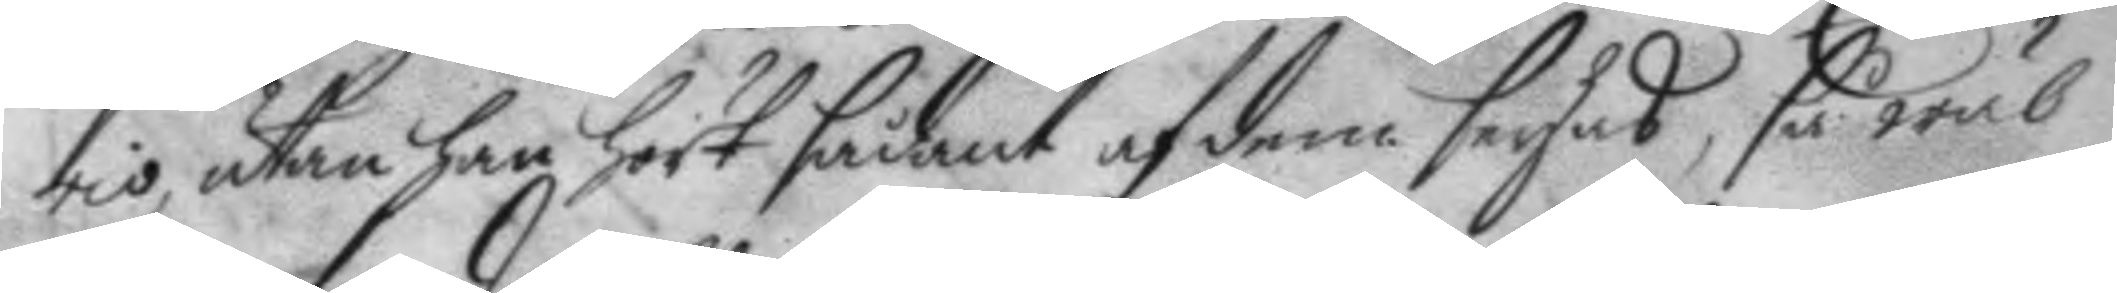rio, utan han hört sådant af dem seyas, så wäl
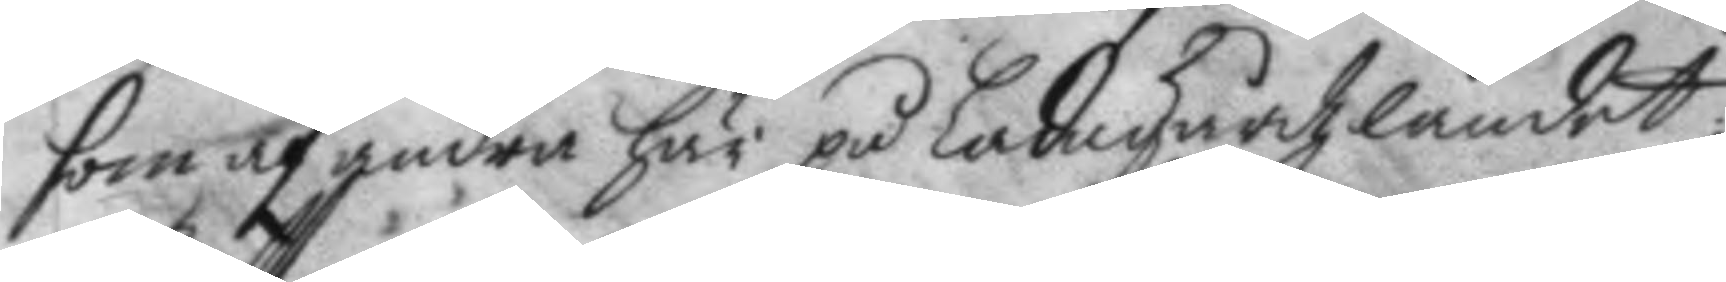som af andra här på Ladugårdzlandet.
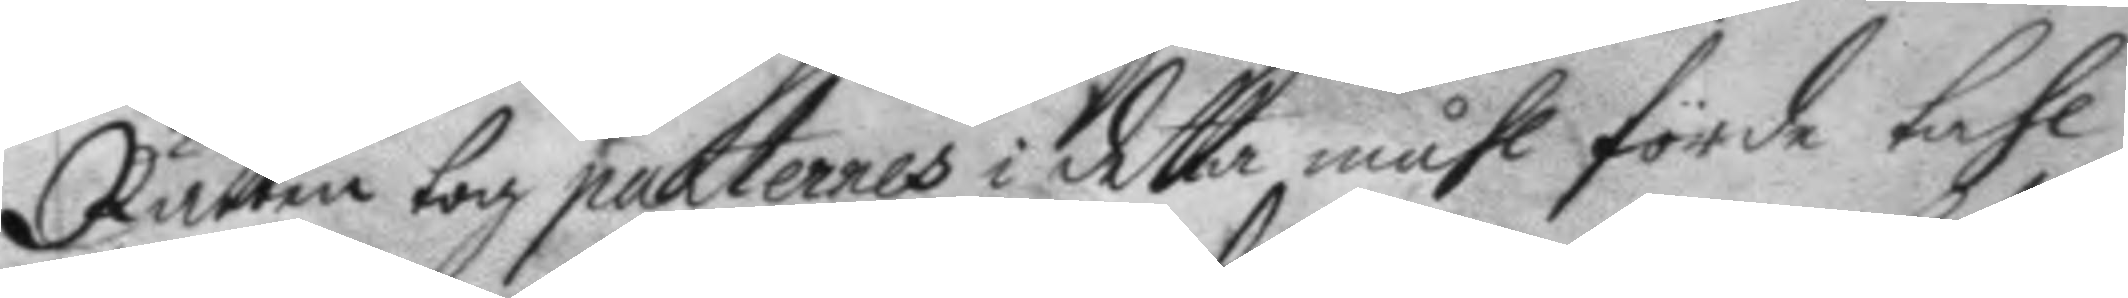Rätten tog parternes i detta måhl förde tahl
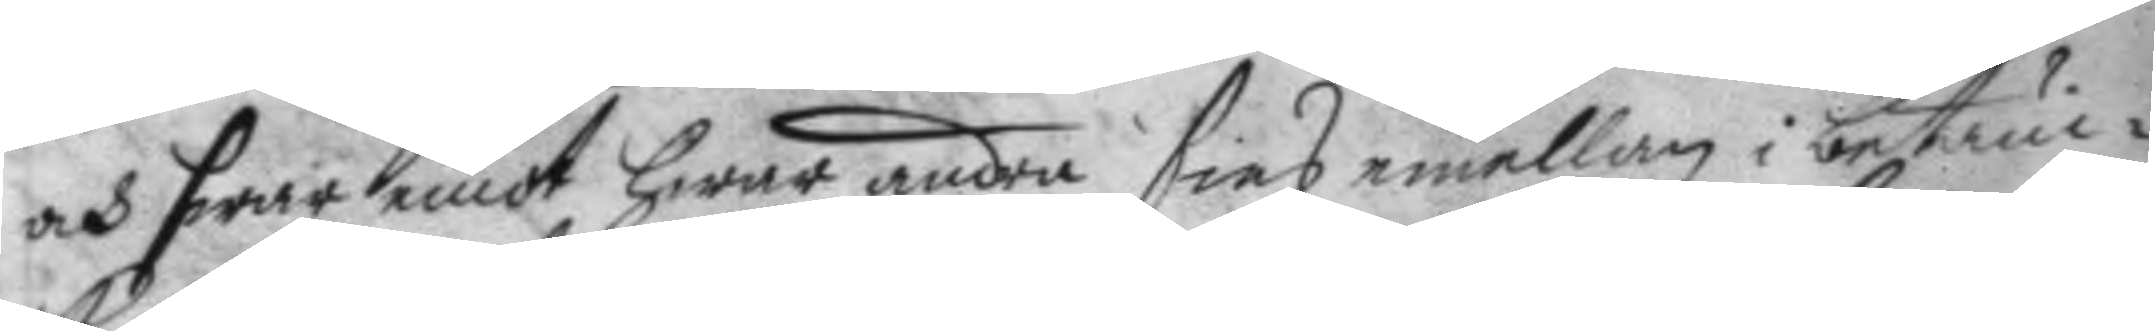och hwar emot hwar andra sins emellan i betänc¬
